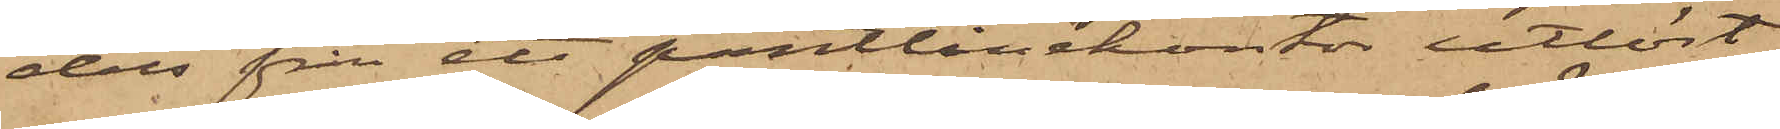dels från ett pantlånekontor utlöst
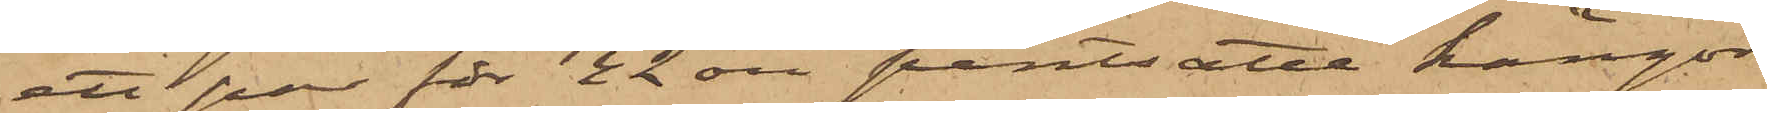ett par för 42 öre pantsatte kängor
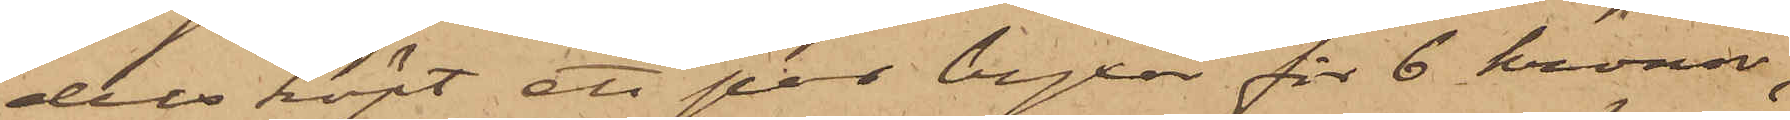dels köpt ett par byxor för 6 kronor,
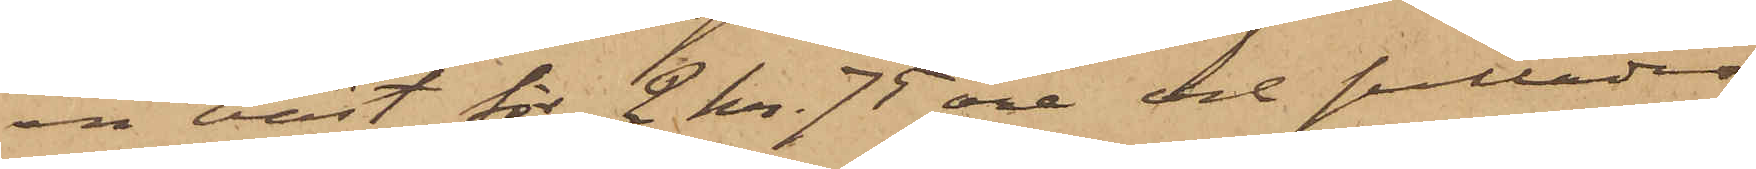en väst för 2 kr. 75 öre och sulläder
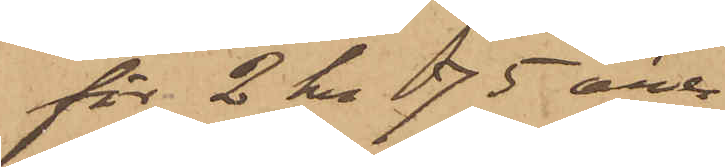för 2 kr 75 öre.
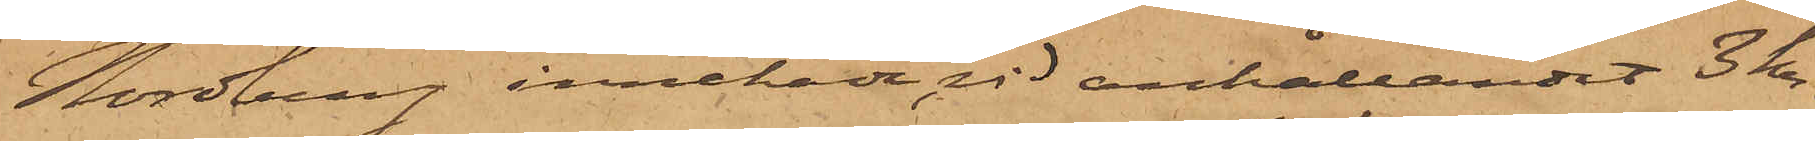Nordberg innehade, vid anhållandet 3 kr.
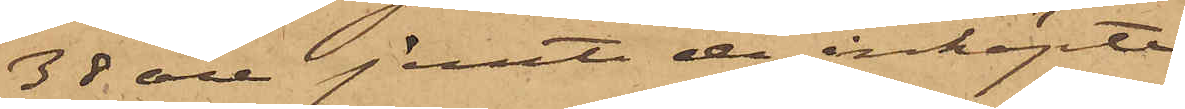38 öre jemte de inköpte
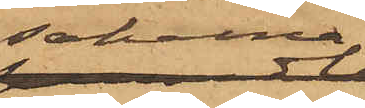sakerna.
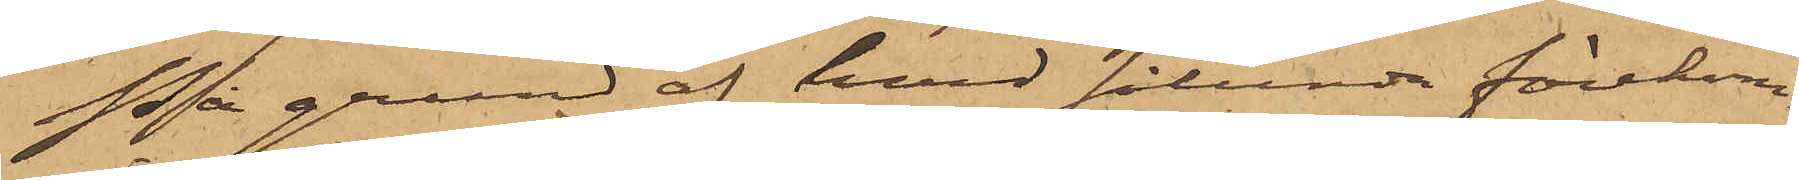På grund af hvad sålunda förekom¬
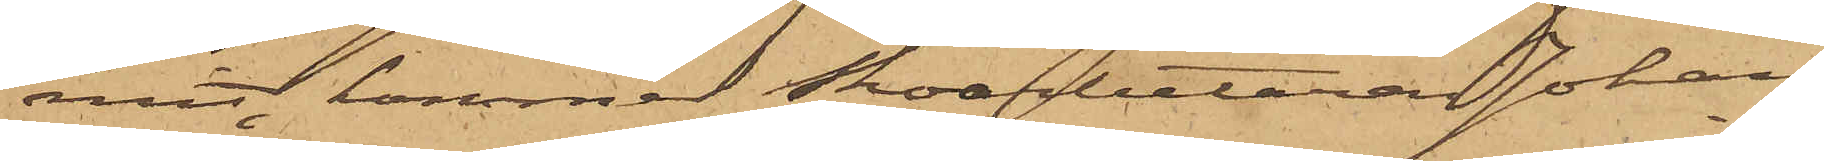mit, kommer Skoarbetaren Johan
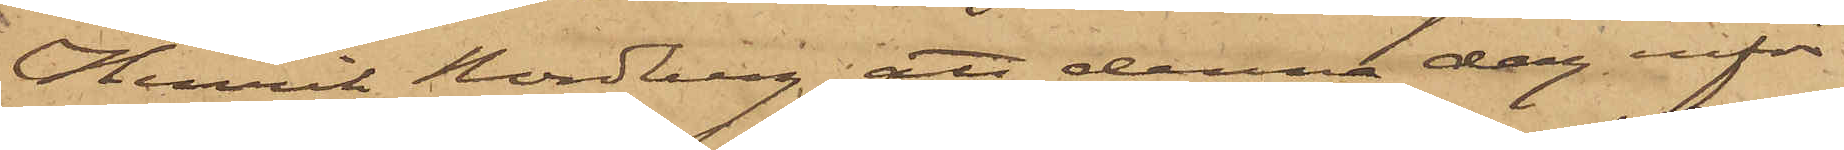Henrik Nordberg, att denna dag inför
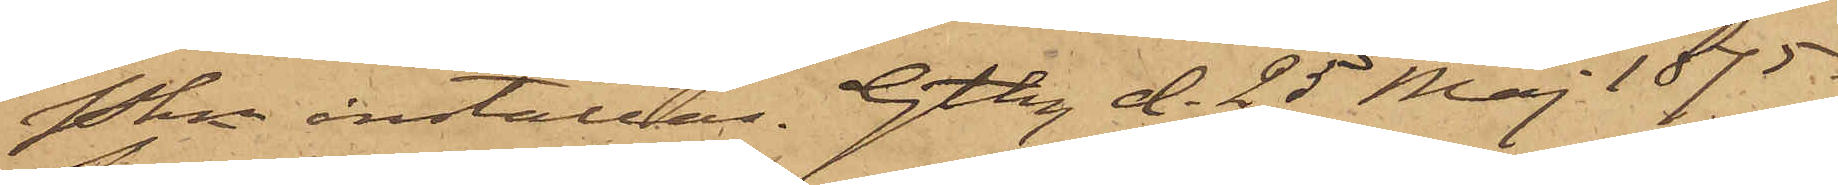Pkn inställas. Gtbg d. 25 Maj 1875.
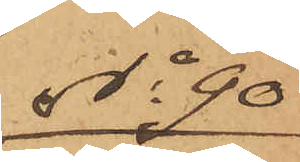No 90
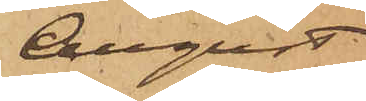August
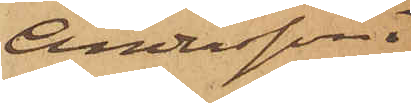Andersson.
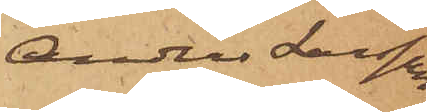Anders Larsson.
